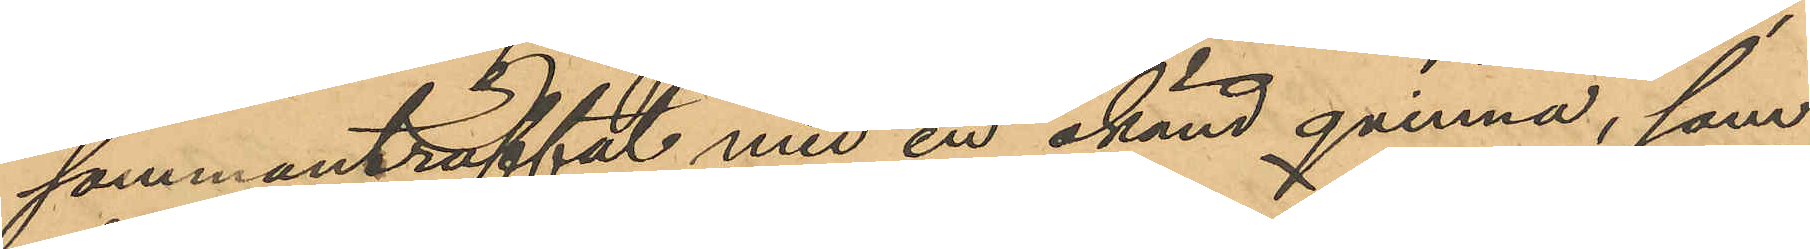sammanträffat med en okänd qvinna, som
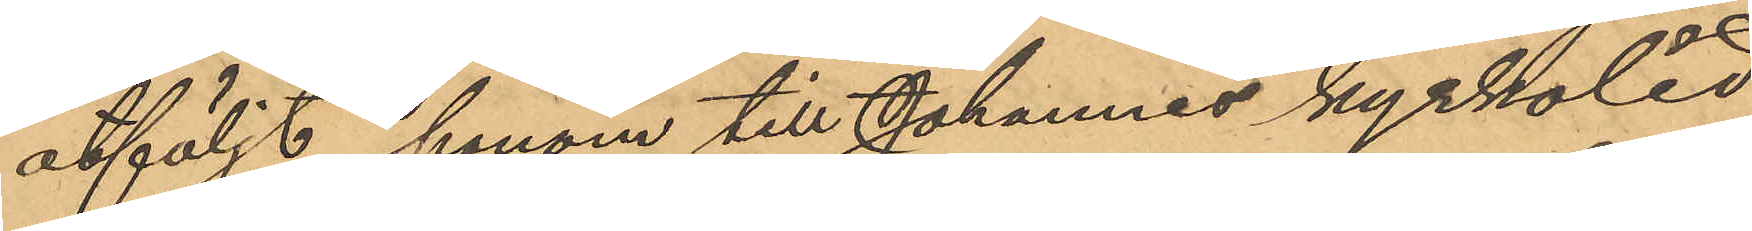åtföljt honom till Johannes kyrkolid
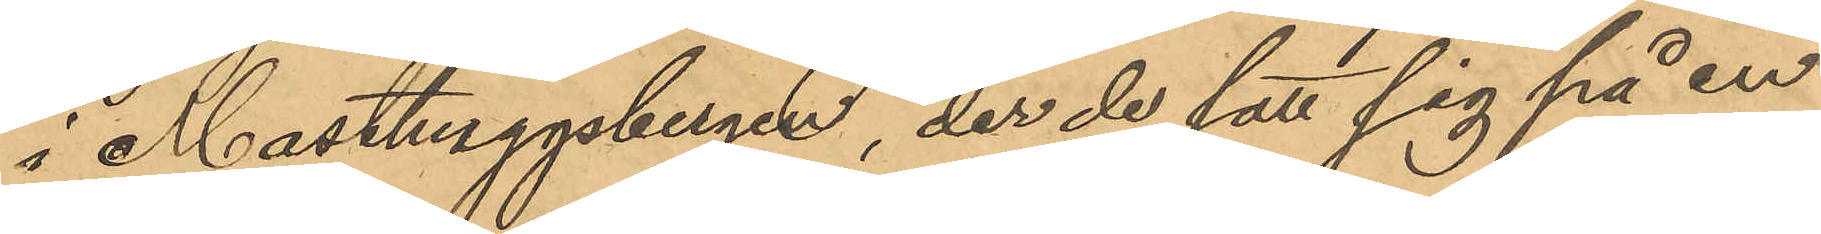i Masthuggsbergen, der de satt sig på en
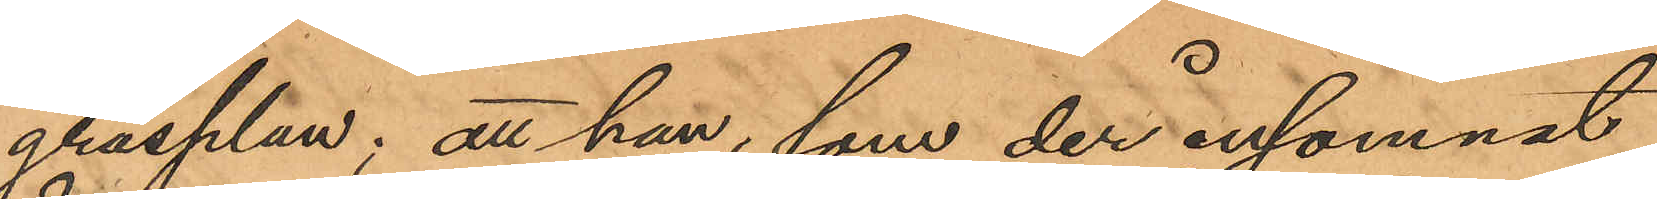gräsplan; att han, som der insomnat,
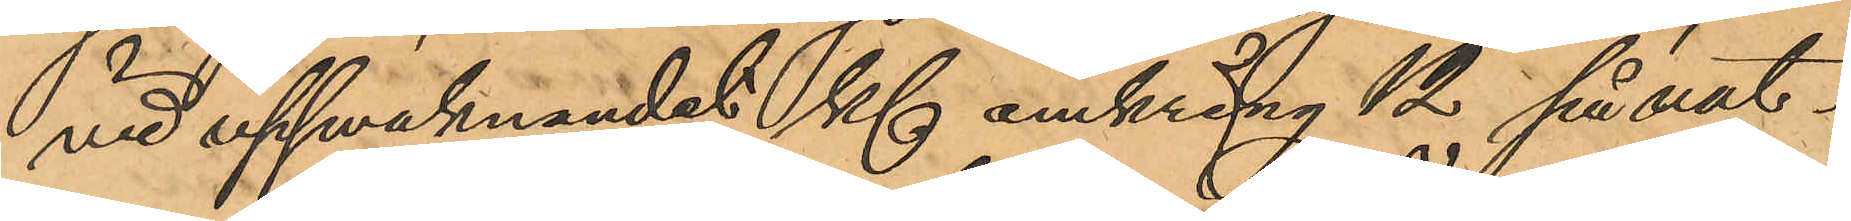vid uppvaknandet Kl omkring 12 på nat¬
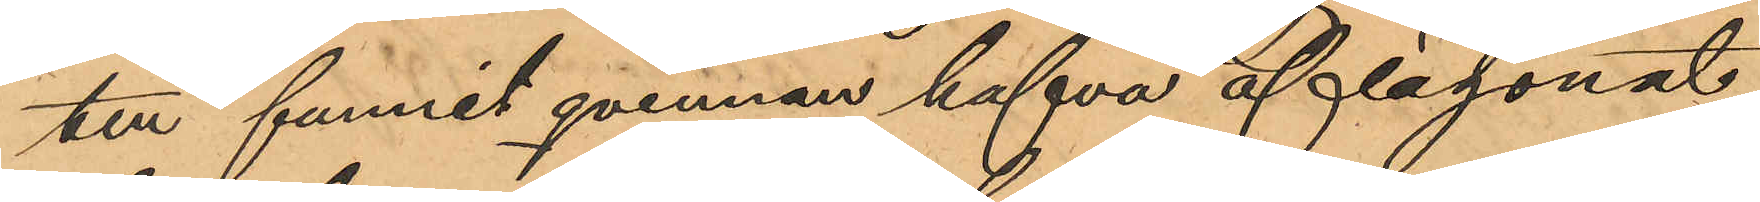ten funnit qvinnan hafva aflägsnat
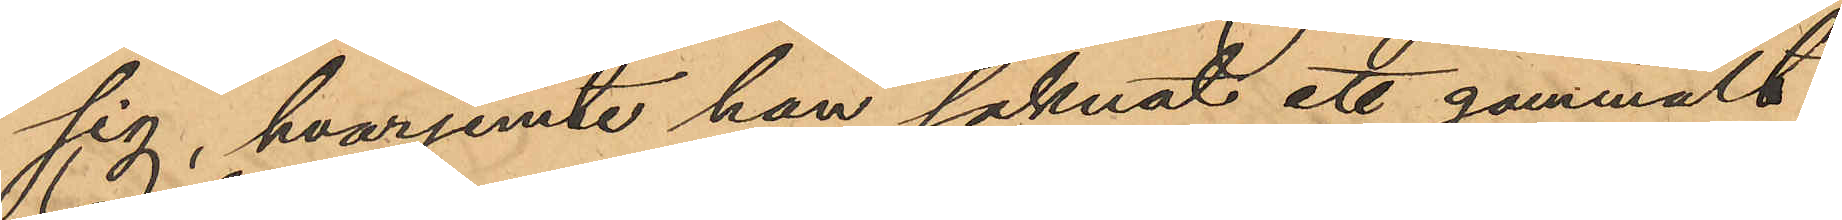sig, hvarjemte han saknat ett gammalt
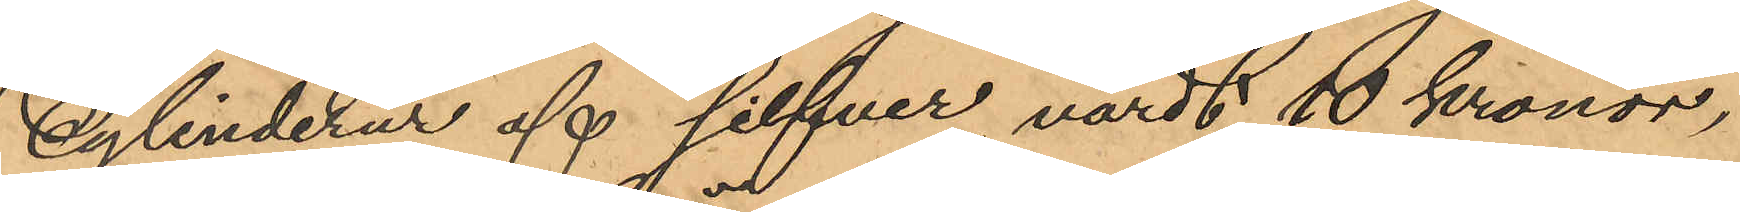cylinderur af silfver, värdt 10 Kronor,
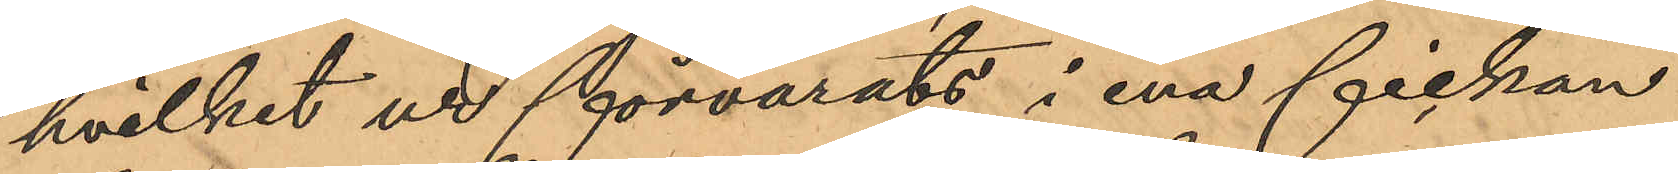hvilket ur förvarats i ena fickan
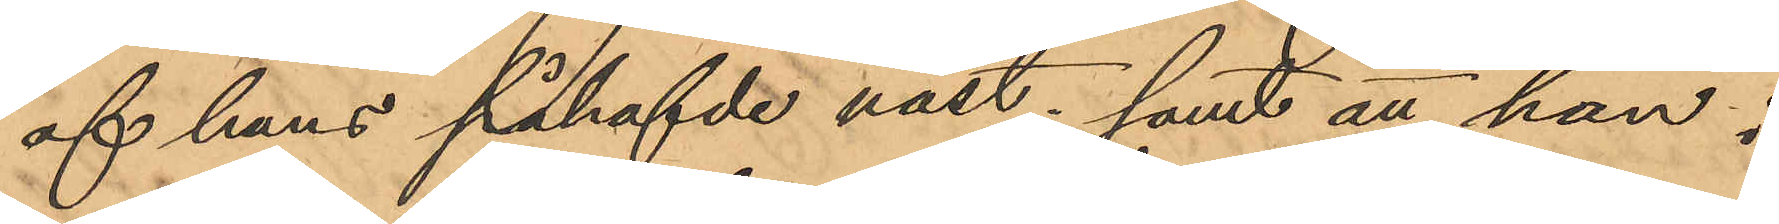af hans påhafvde väst; samt att han i
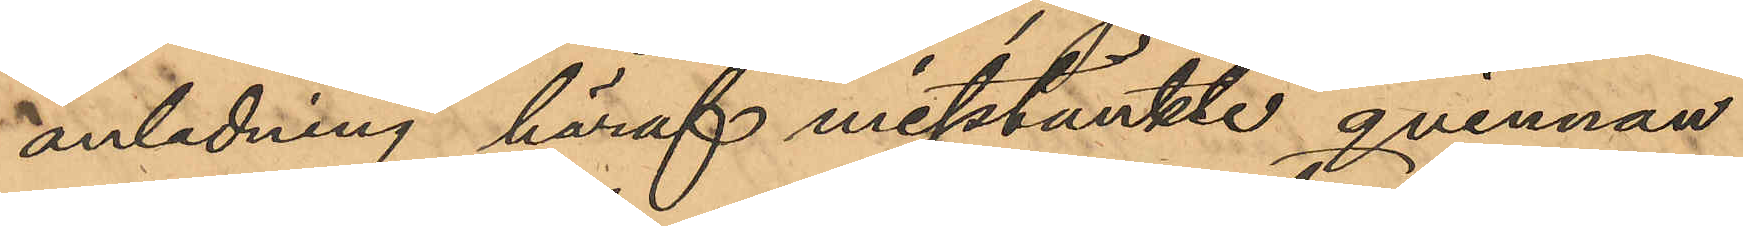anledning häraf misstänkte qvinnan
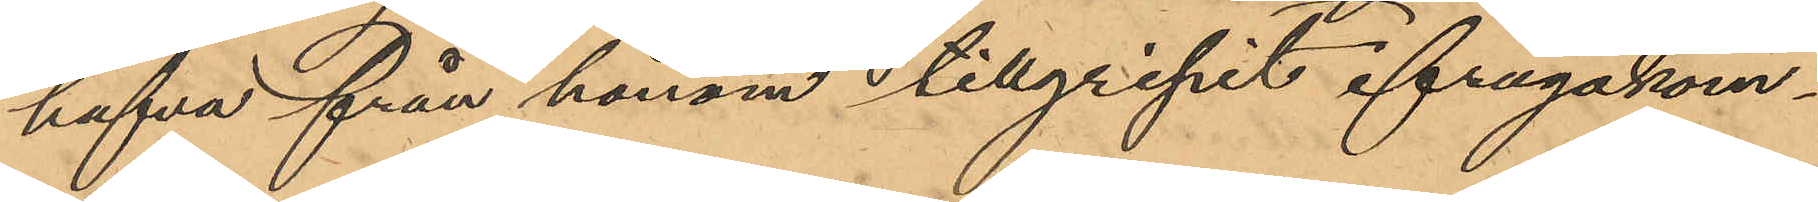hafva från honom tillgripit ifrågakom¬
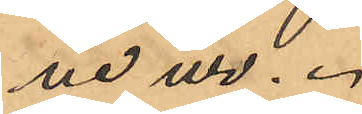ne ur.
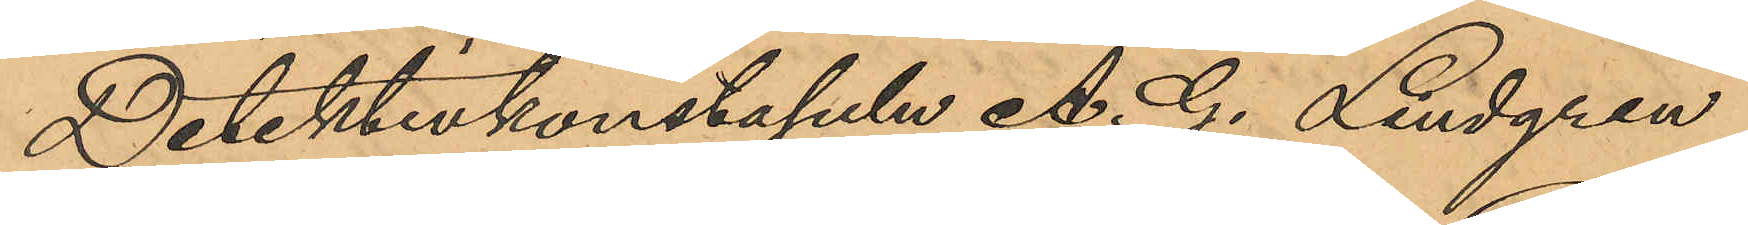Detektivkonstapeln A. G. Lindgren
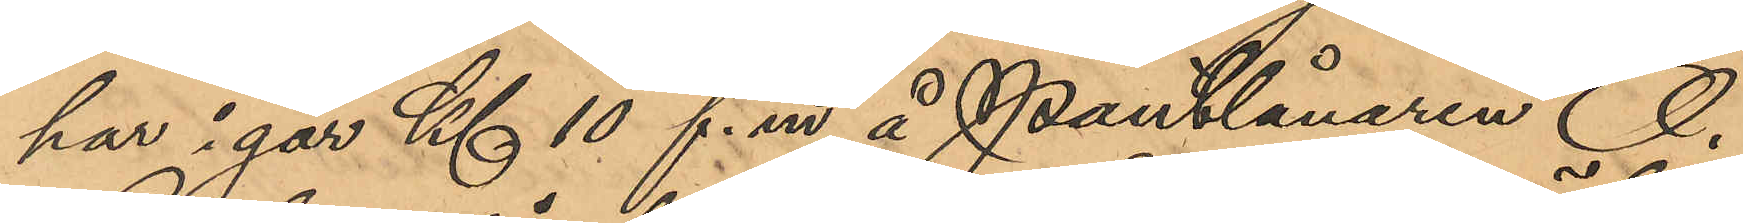har i går Kl 10 f. m å Pantlånaren O.
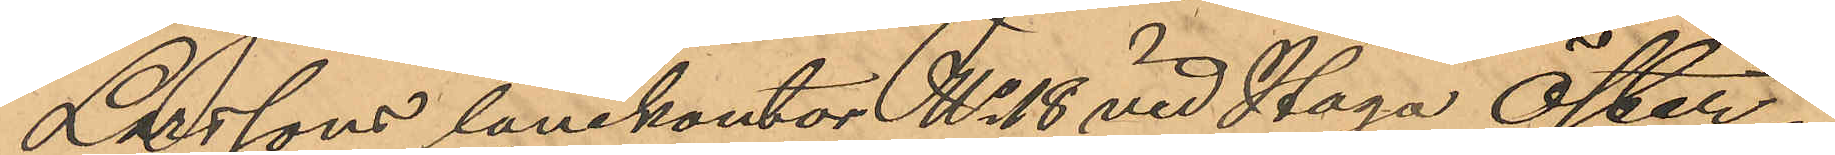Larssons lånekontor No 18 vid Haga Öster¬
